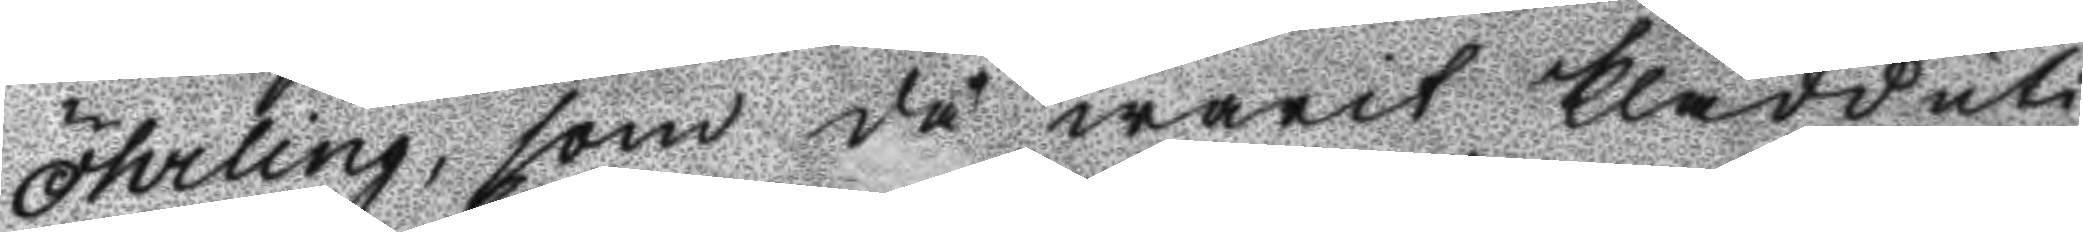Öhrling, som då warit klädd uti
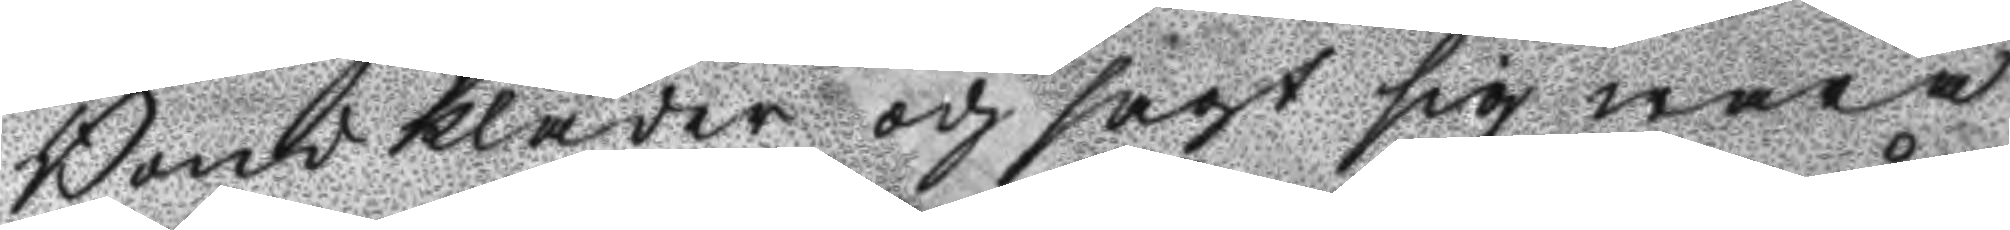Bondkläder och sagt sig wara
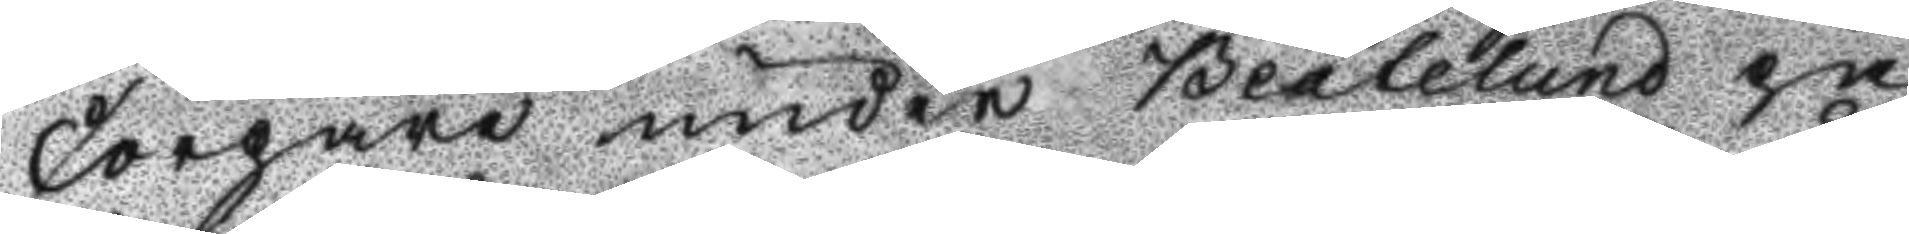Torpare under Beatelund på
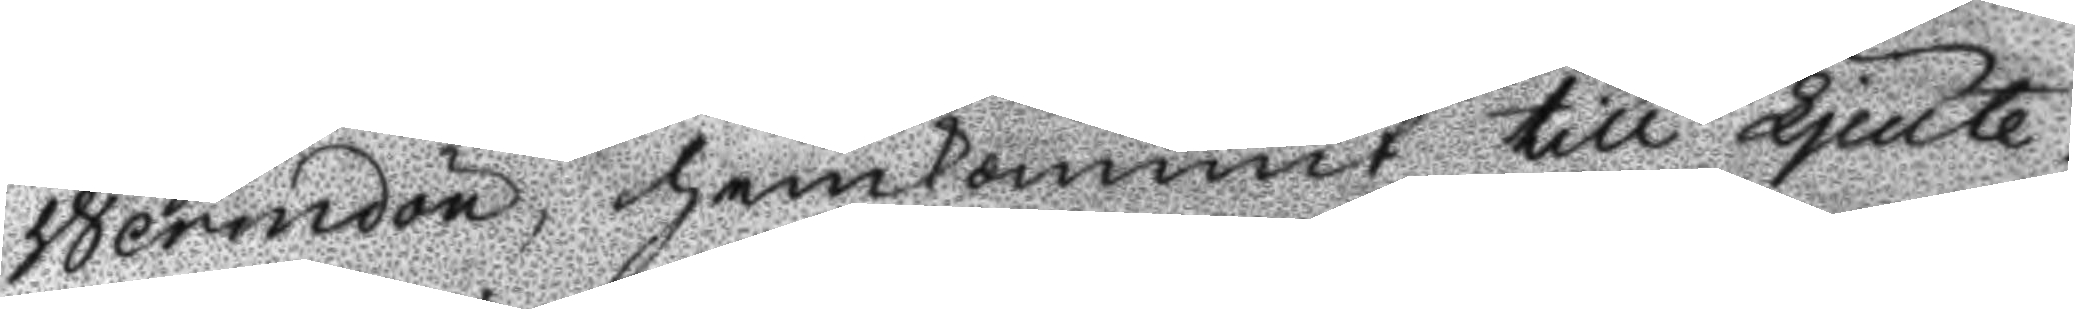Wermdön, hemkommit till Ljeute¬
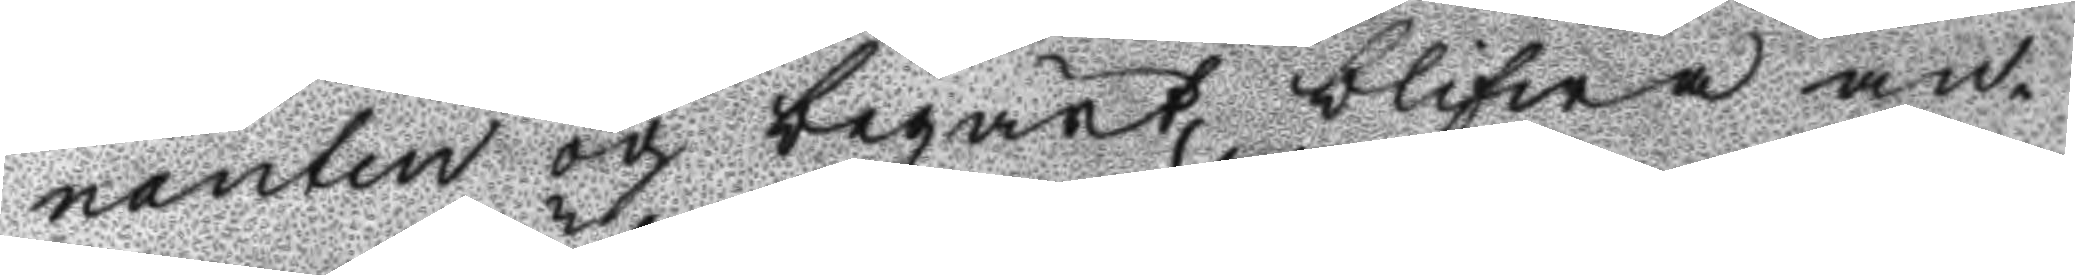nanten och begärt blifwa an¬
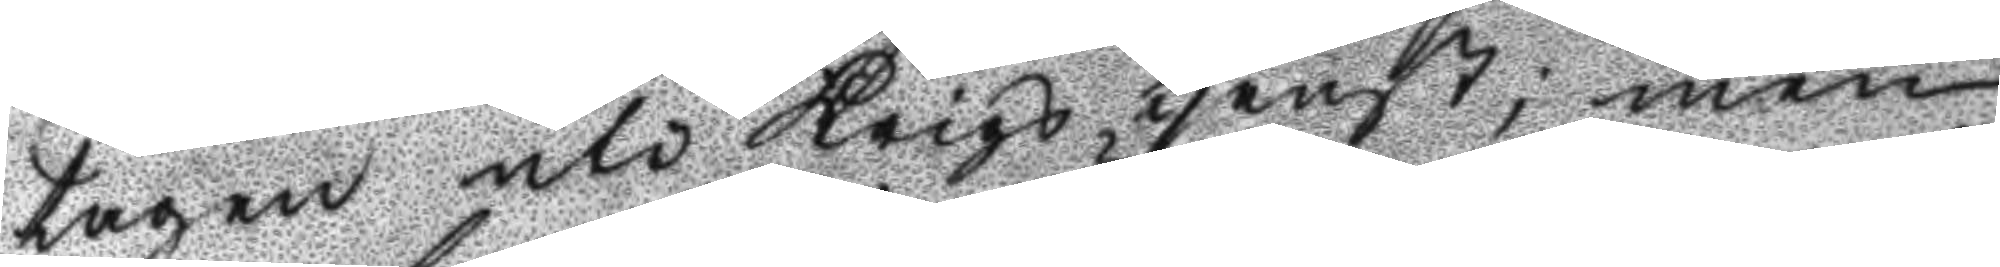tagen uti Krigs tjenst; men
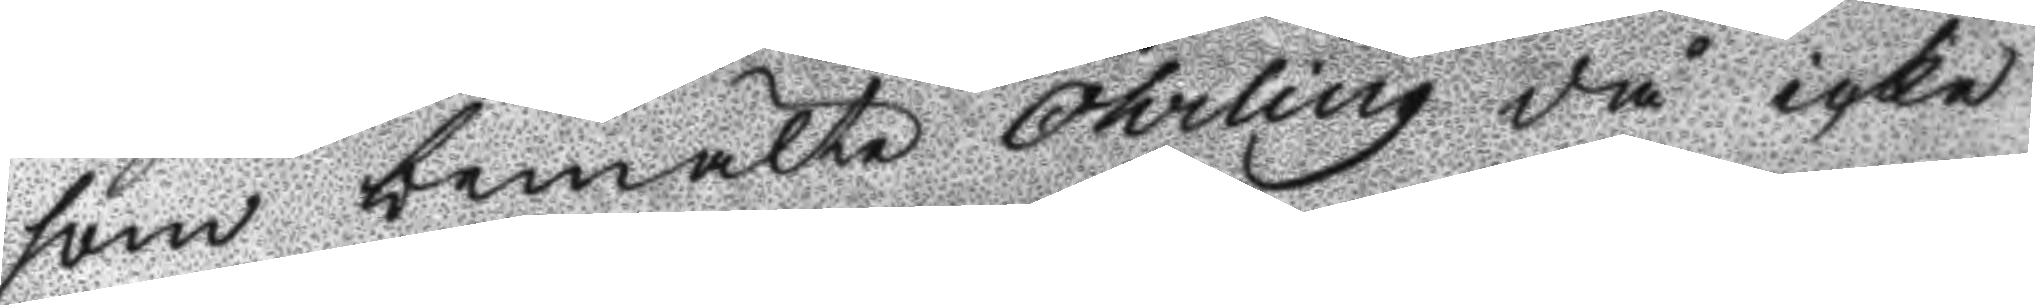som bemälte Öhrling då icke
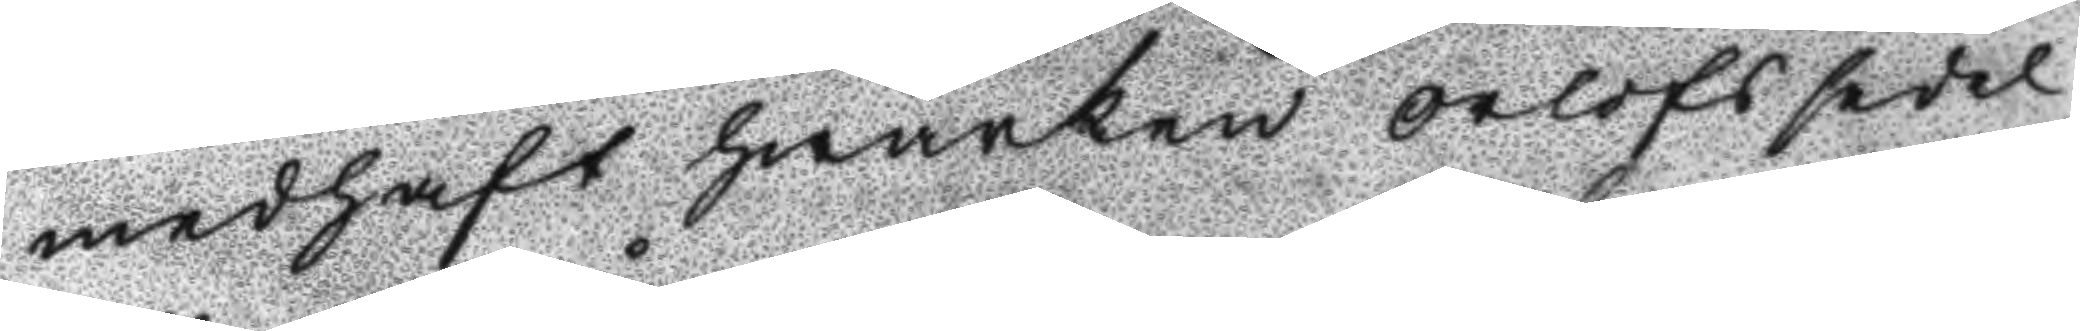medhaft hwarken orlofssedel
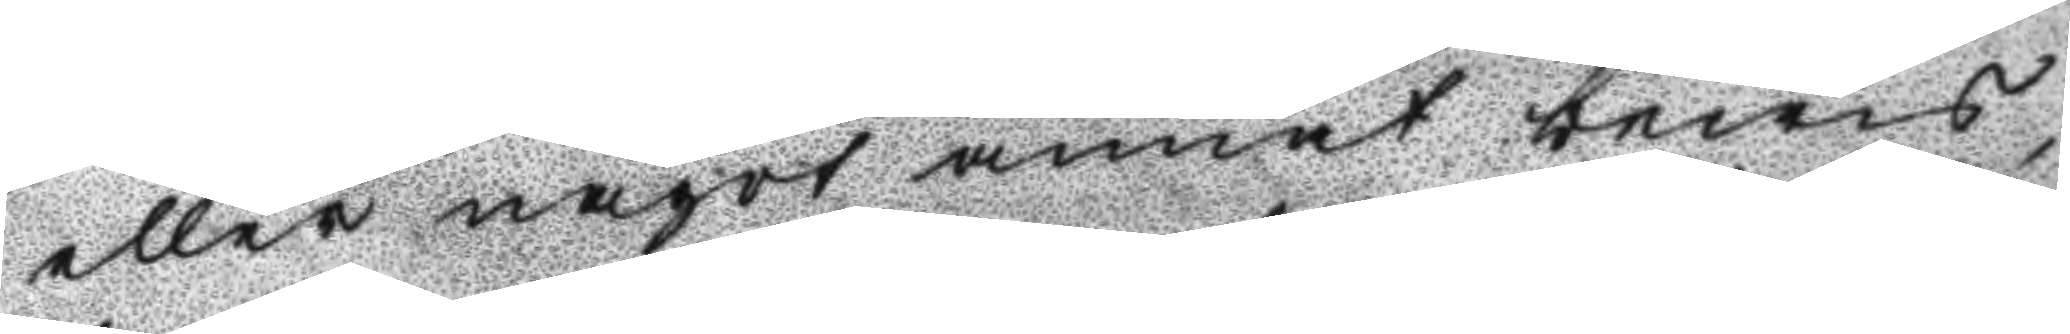eller något annat bewis
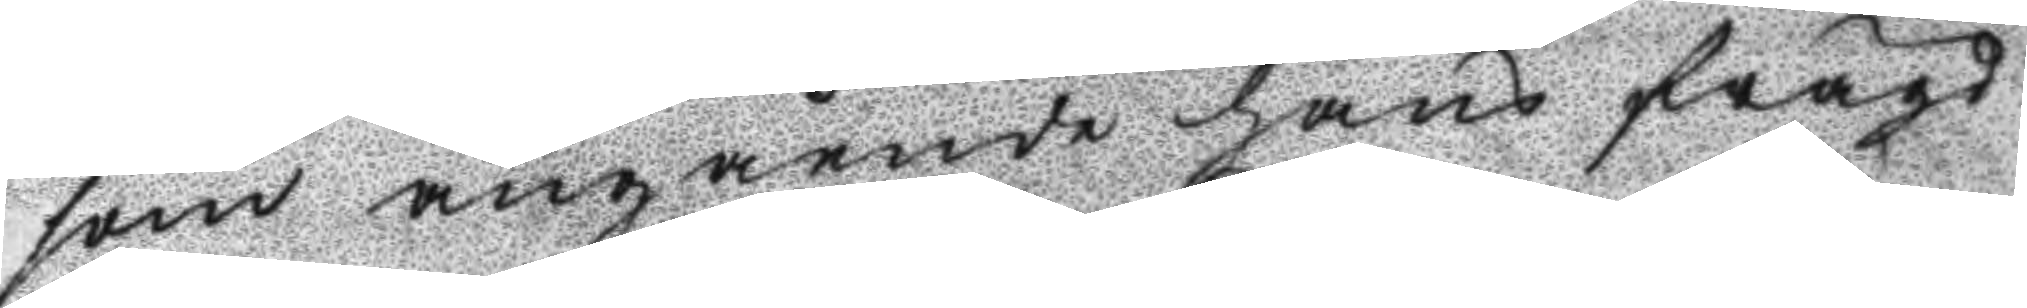som angående hans frägd
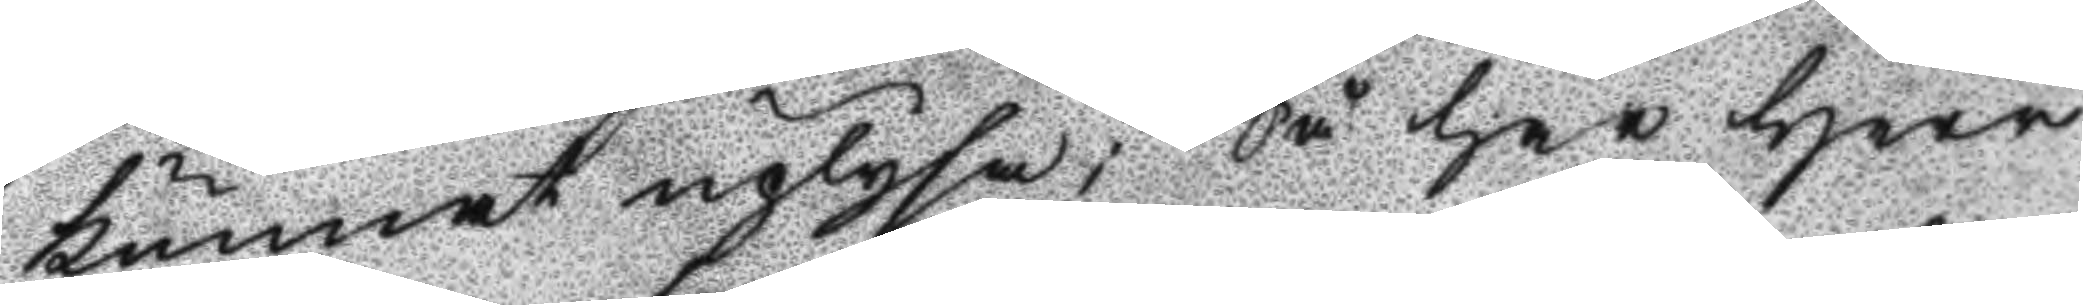kunnat uplysa; Så har Herr
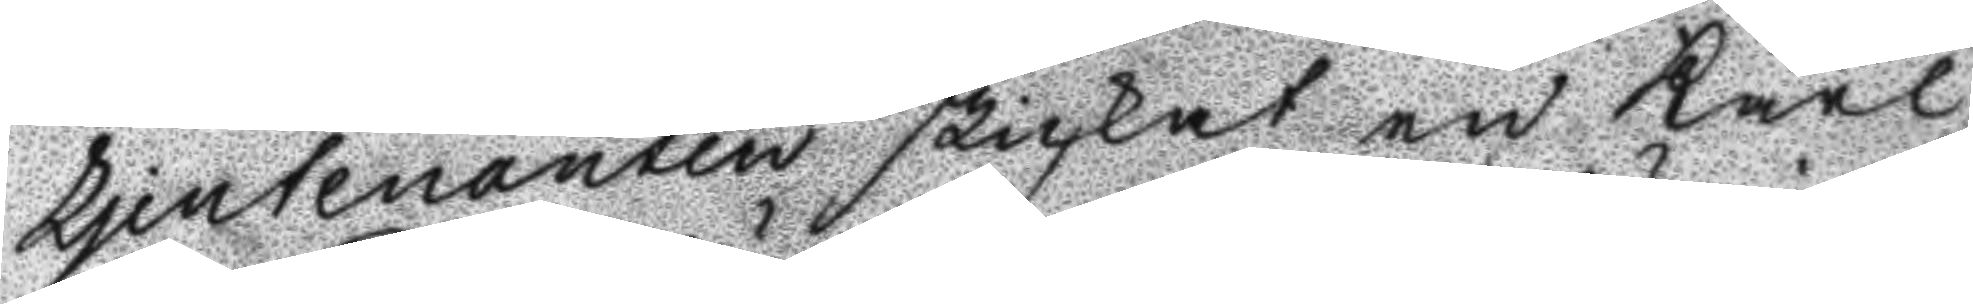Ljeutenanten skickat en Karl
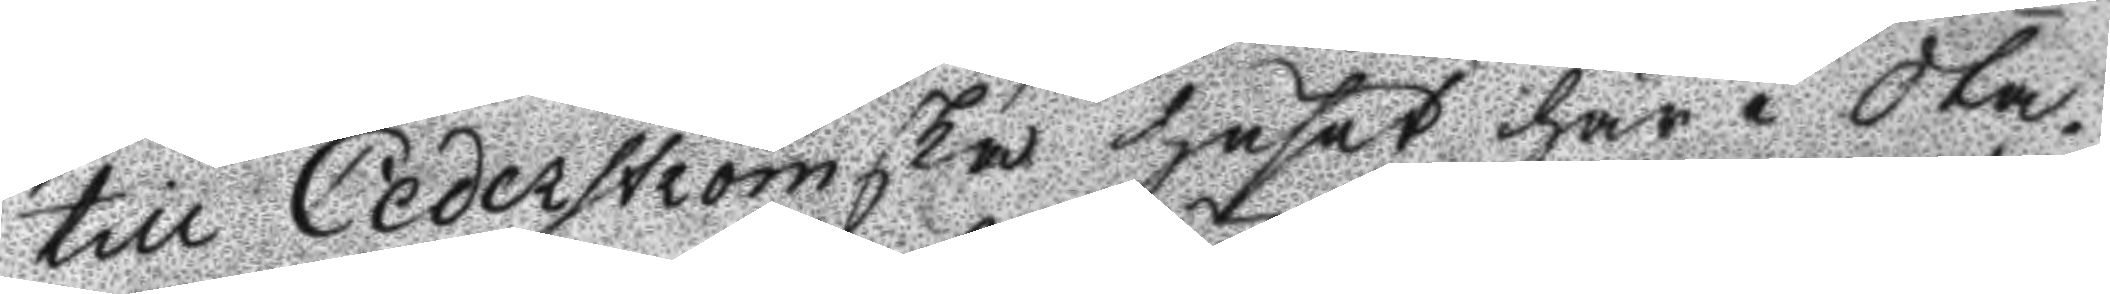till Cederströmska huset här i Sta¬
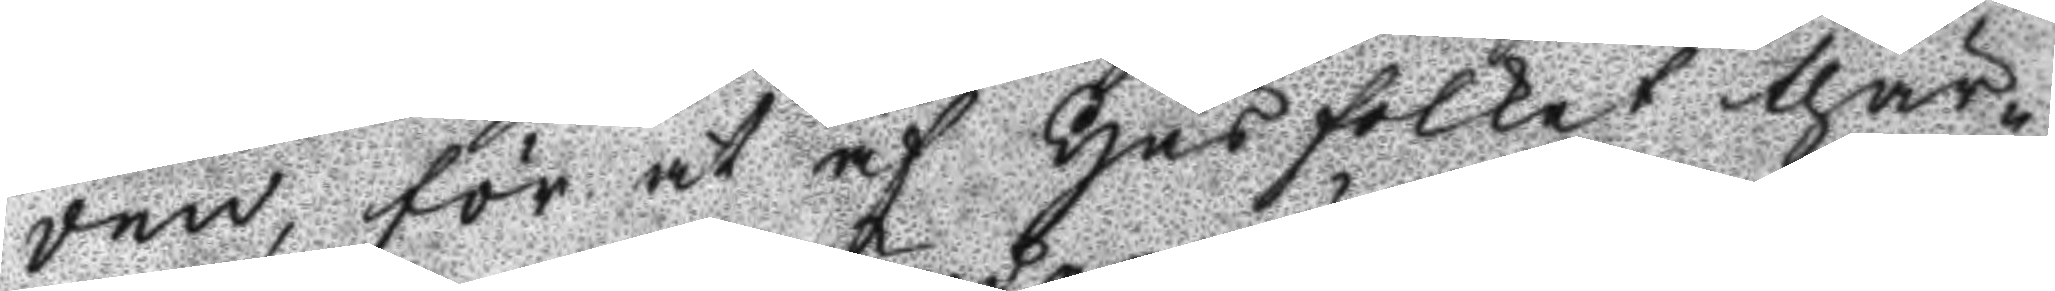den för at af Husfolket thär¬
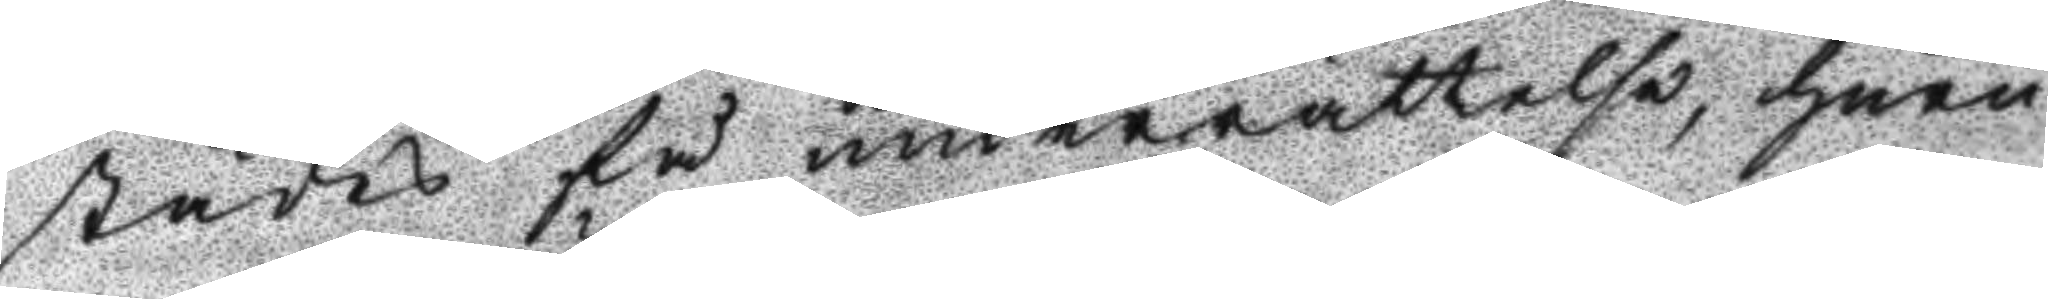städes få underrättelse, huru
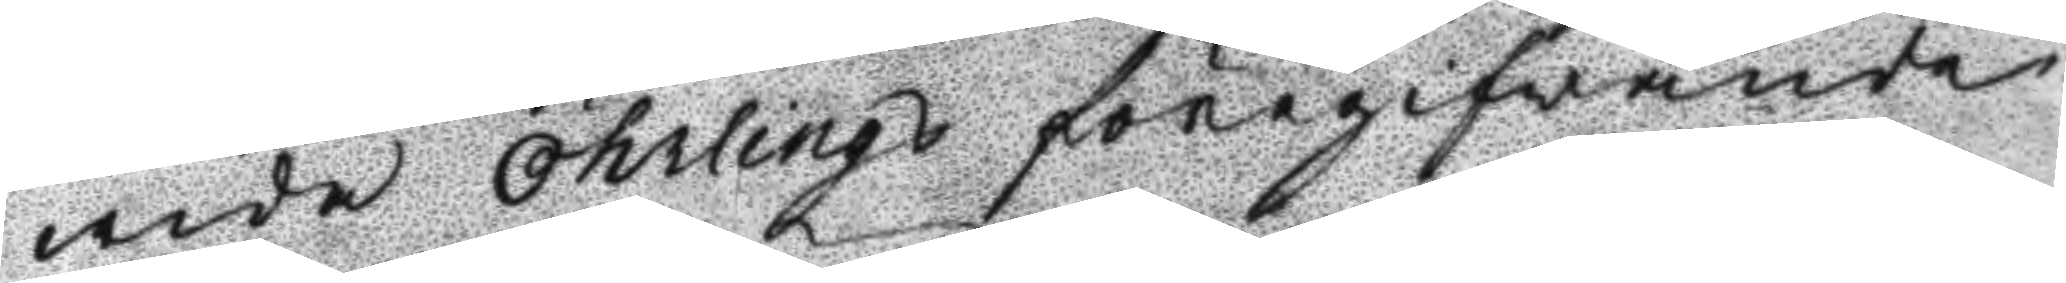wida Öhrling föregifwande
